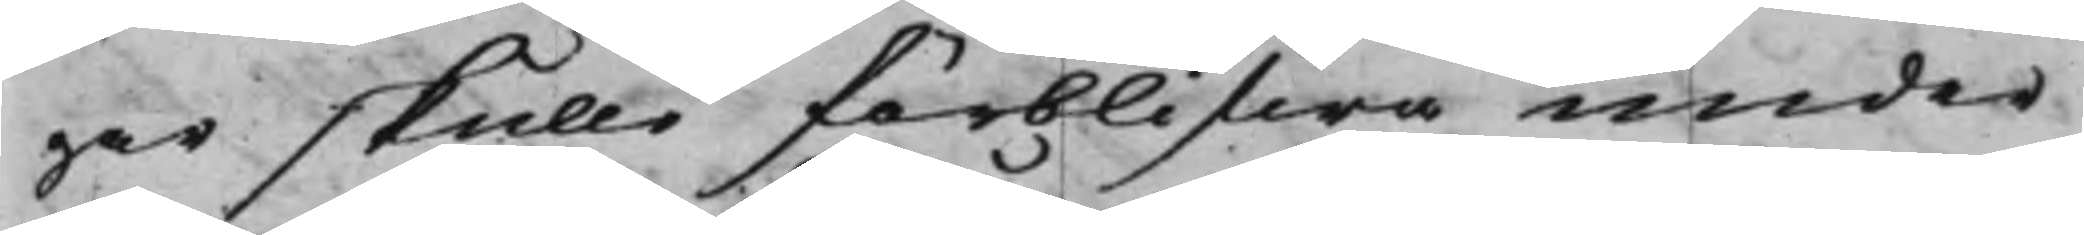gar skulle förblifwa under
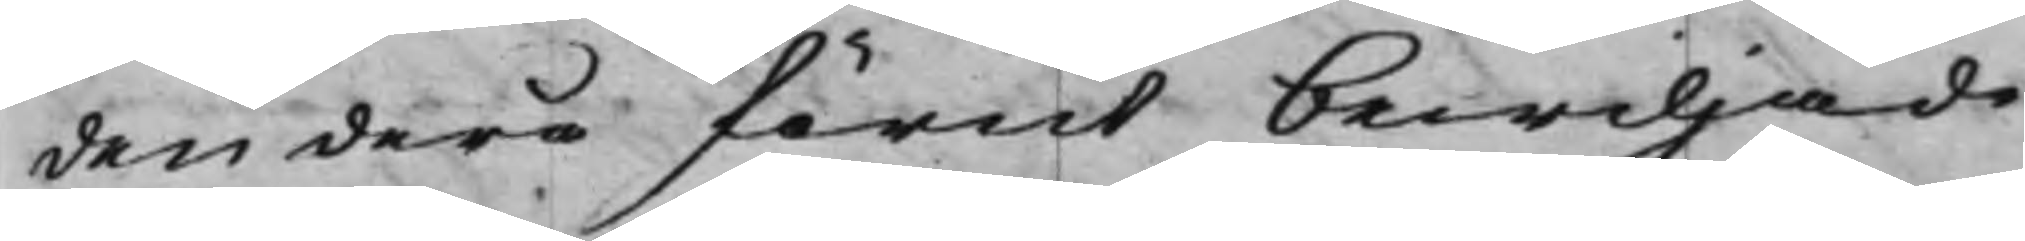den derå förut bewiljade
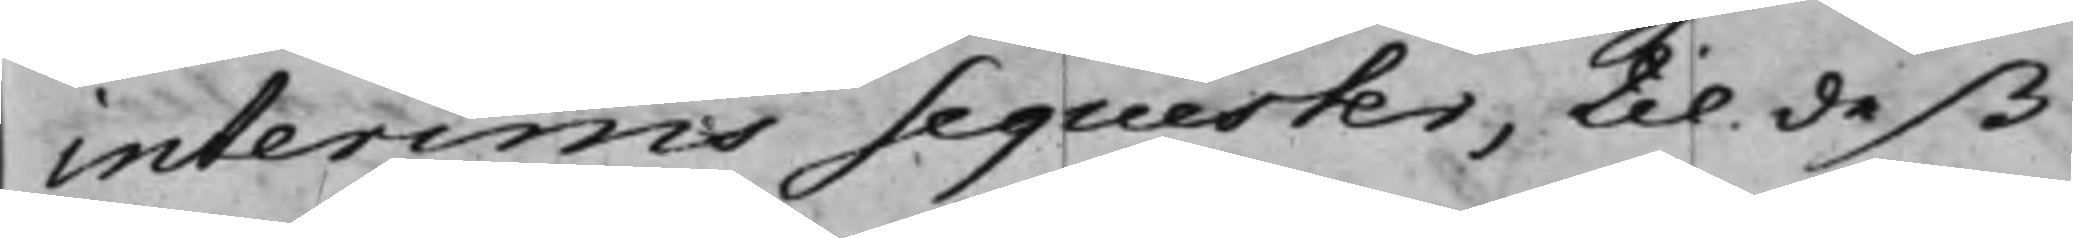interims Sequester, til deß
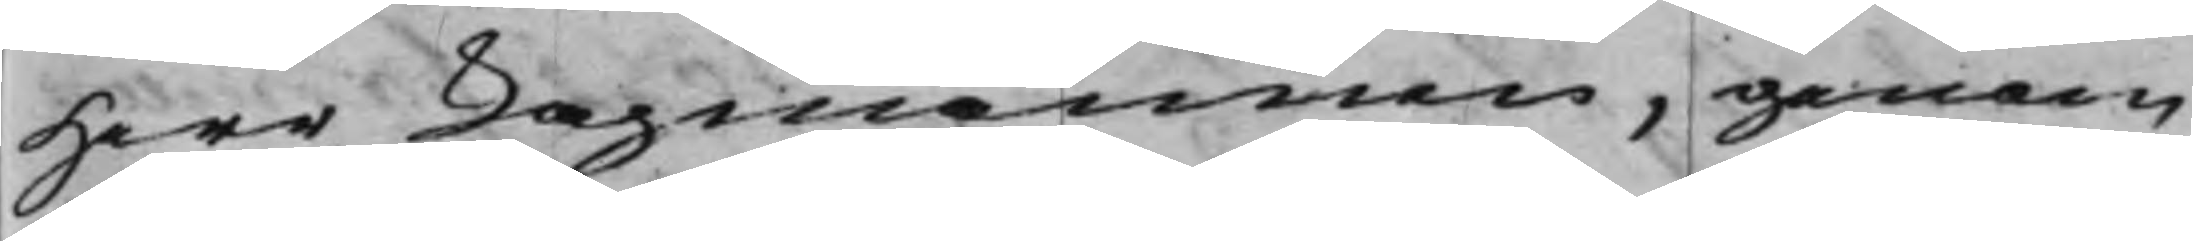Herr Lagmannen, genom
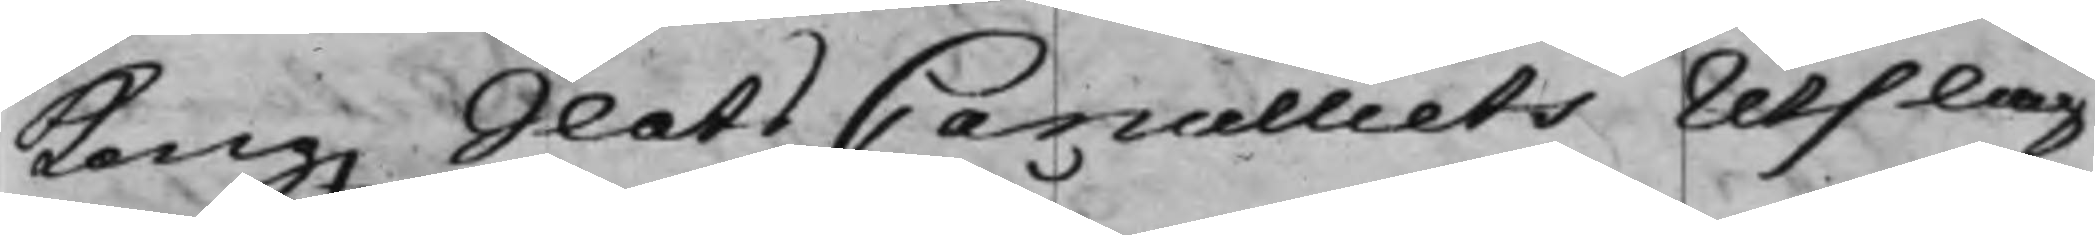Kong. SlotsCancelliets Utslag
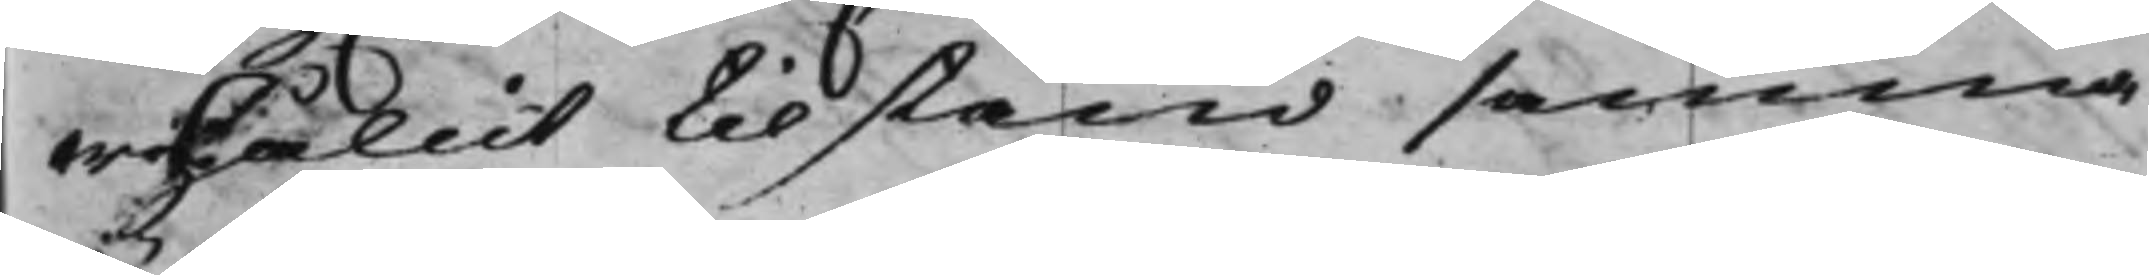erhållit tilstånd samma
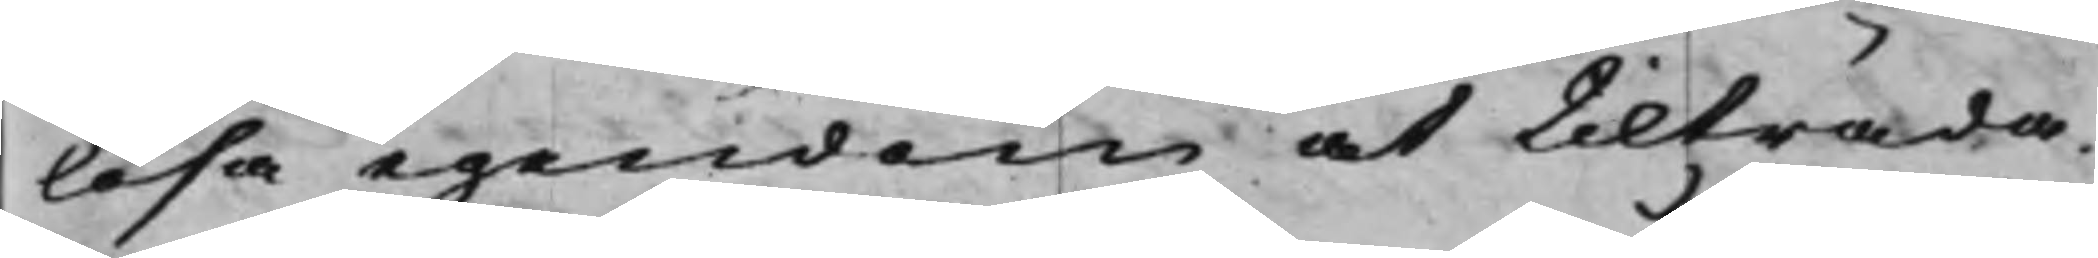lösa egendom at tilträda.
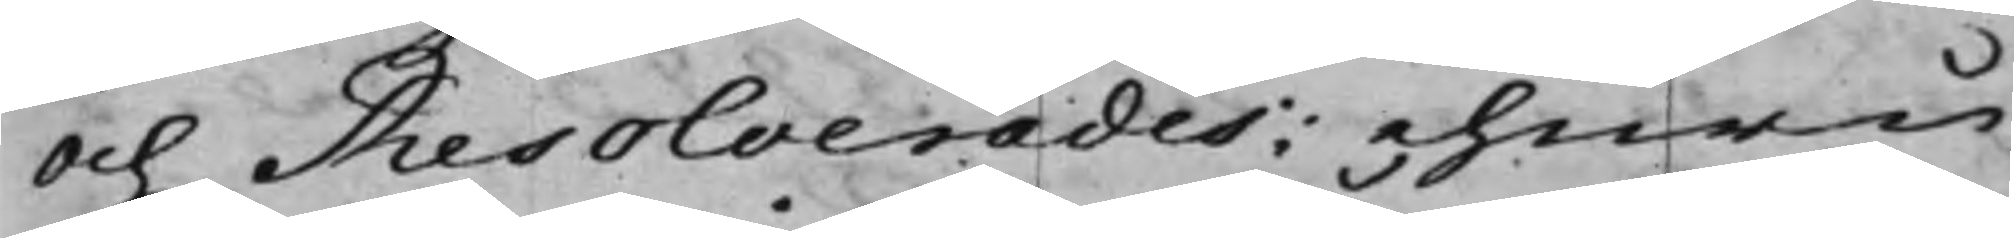Och Resolverades: ehuru
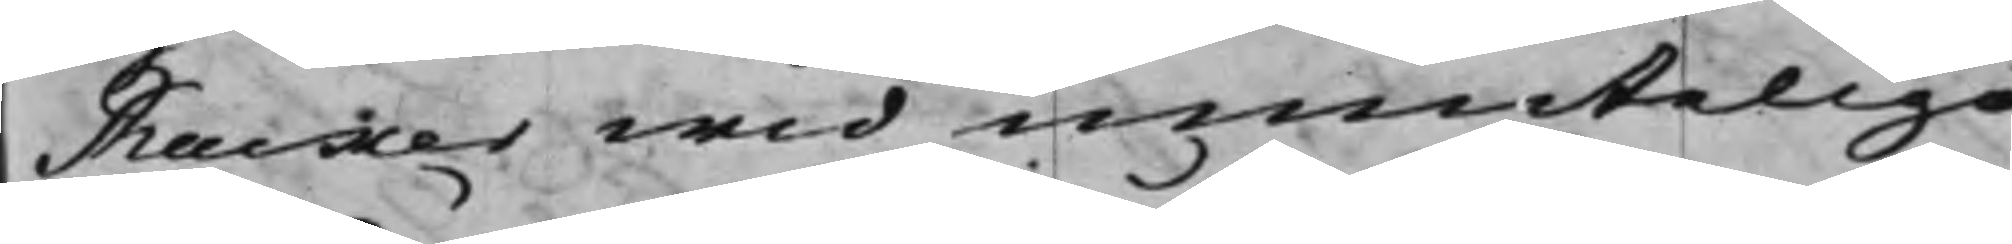Rucker wid muntelige
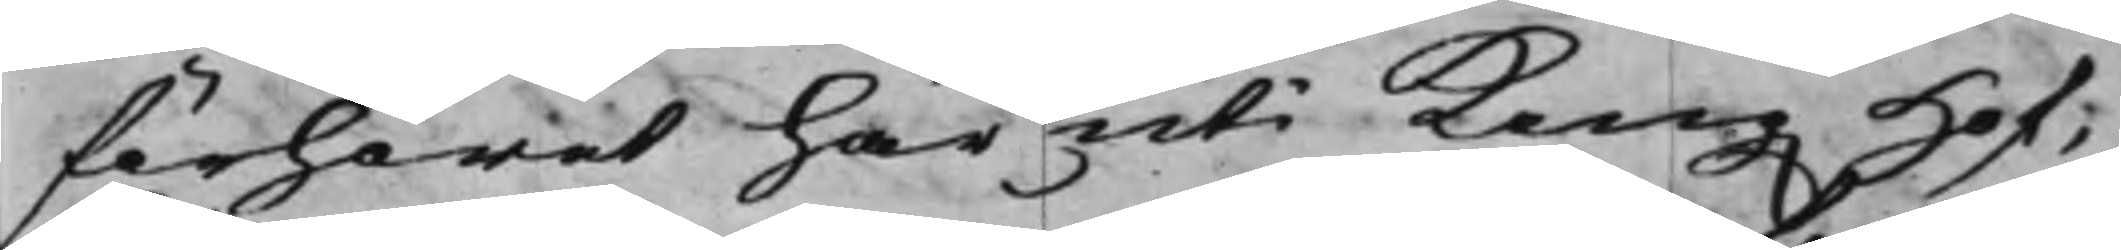förhöret här uti Kong. Hof¬
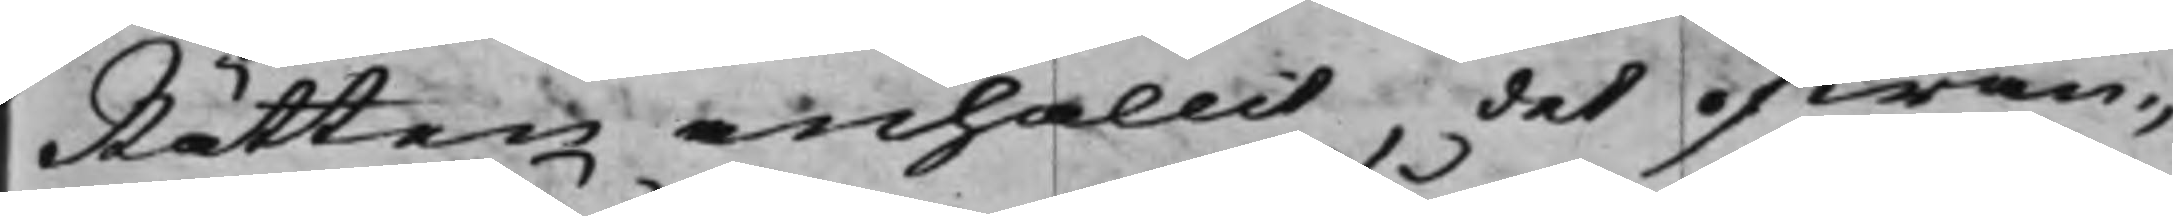Rätten anhållit, det ofwan¬
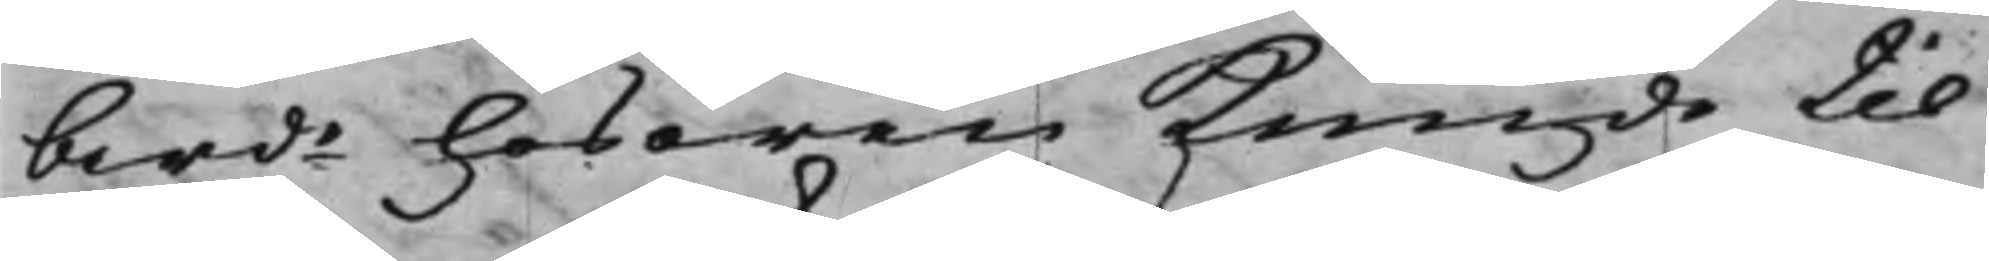berde lösören kunde til
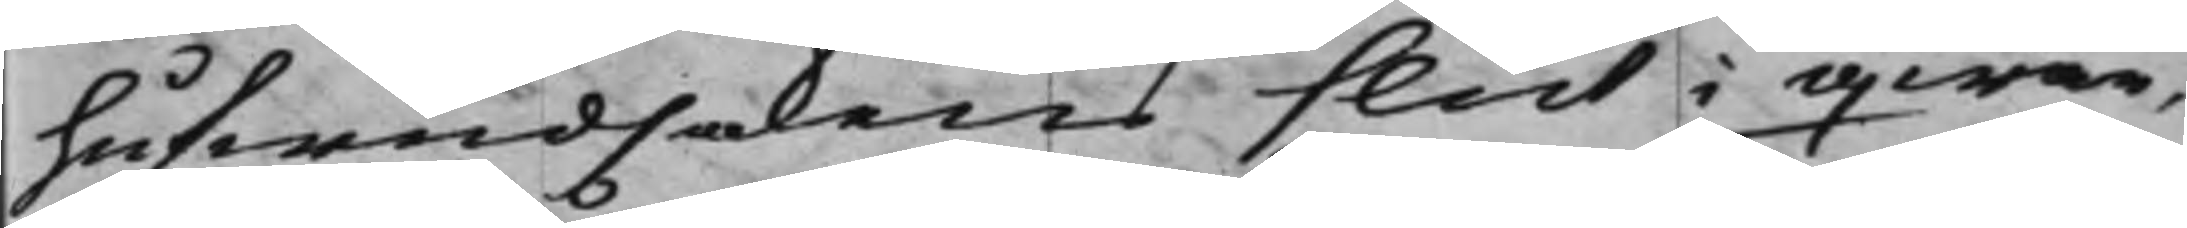hufwudsakens slut i qwar¬
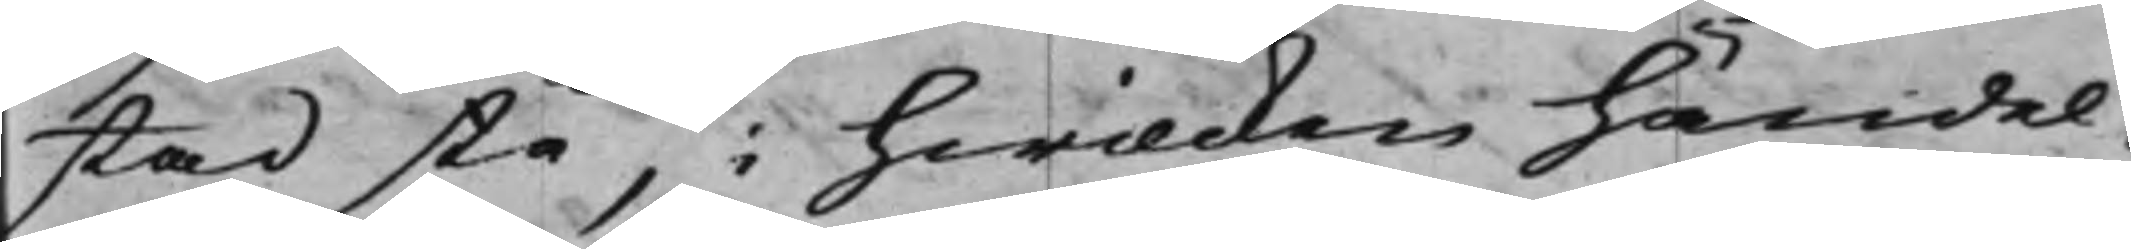stad stå, i hwilcken händel¬
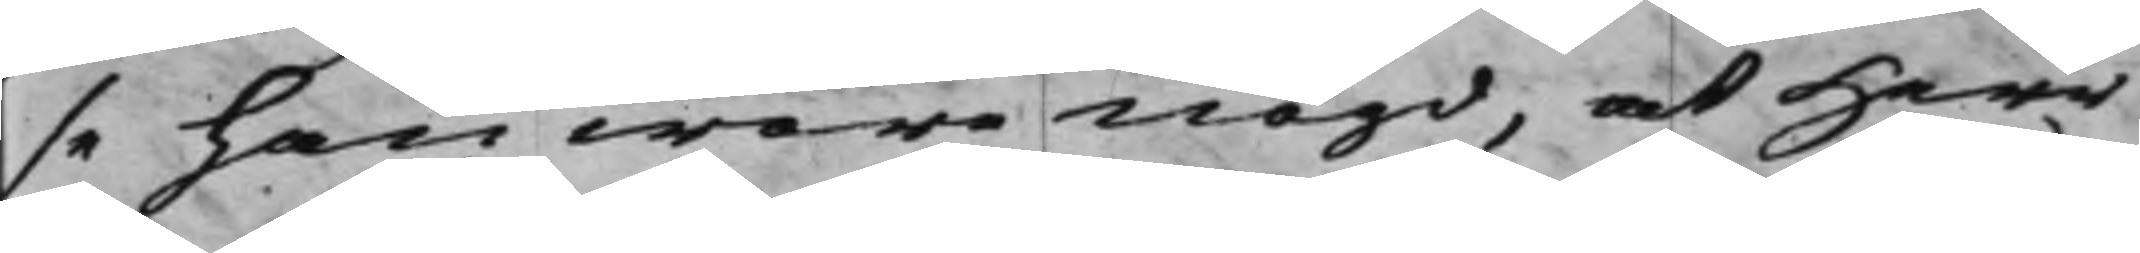se han wara nögd, at Herr
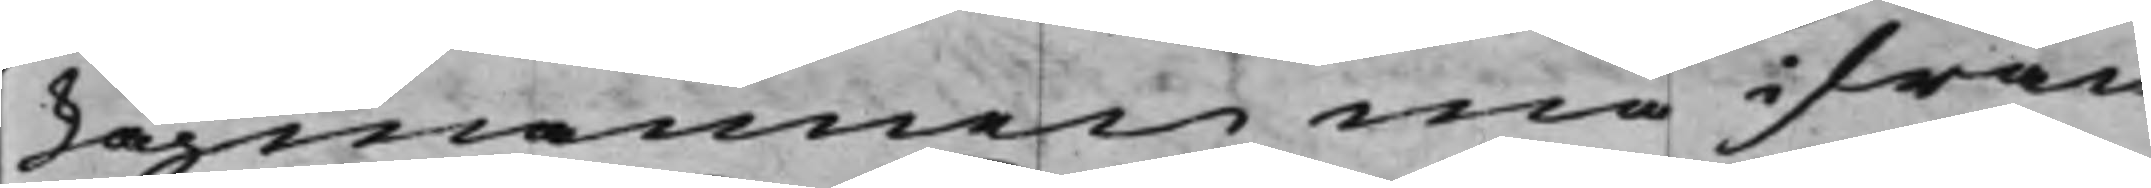Lagmannen må ifrån
